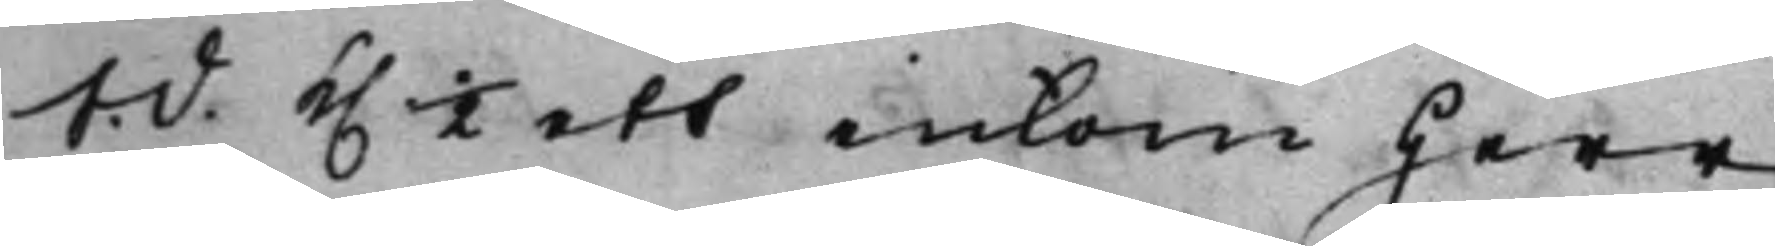S. d. K. ½ ett inkom Herr
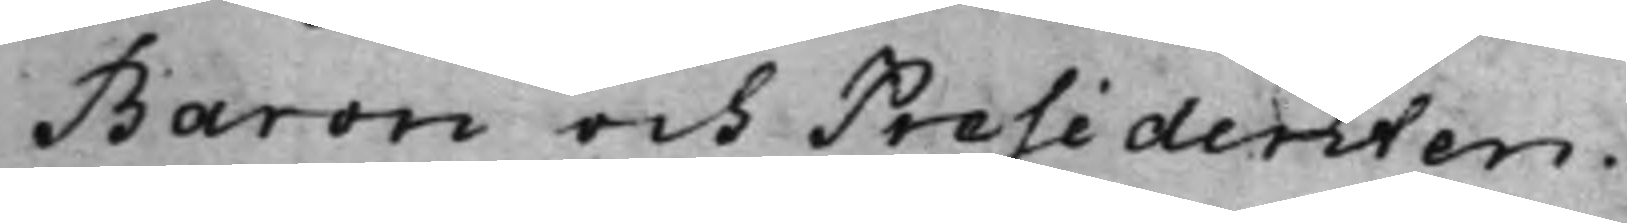Baron och Presidenten.
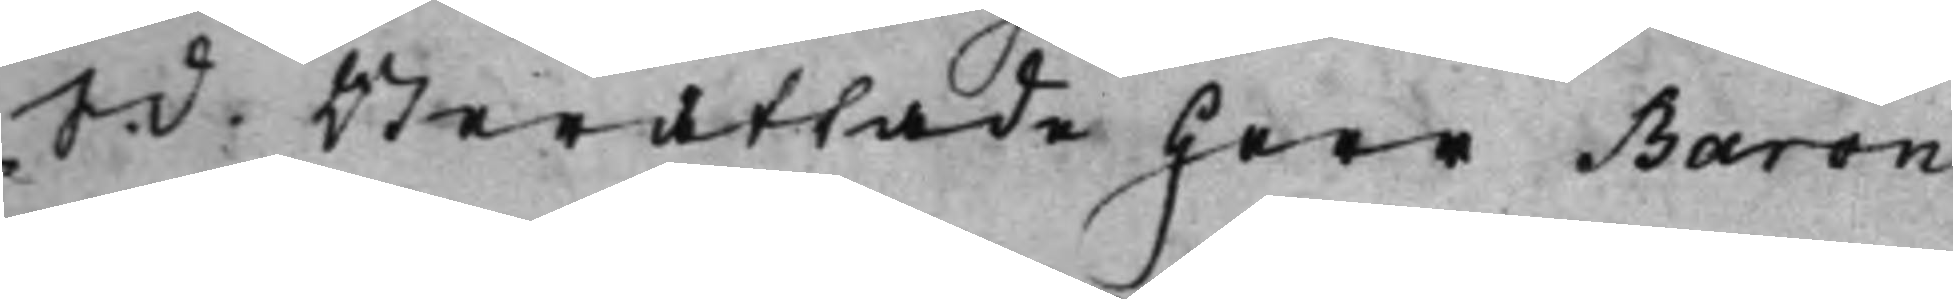S. d. Berättade Herr Baron
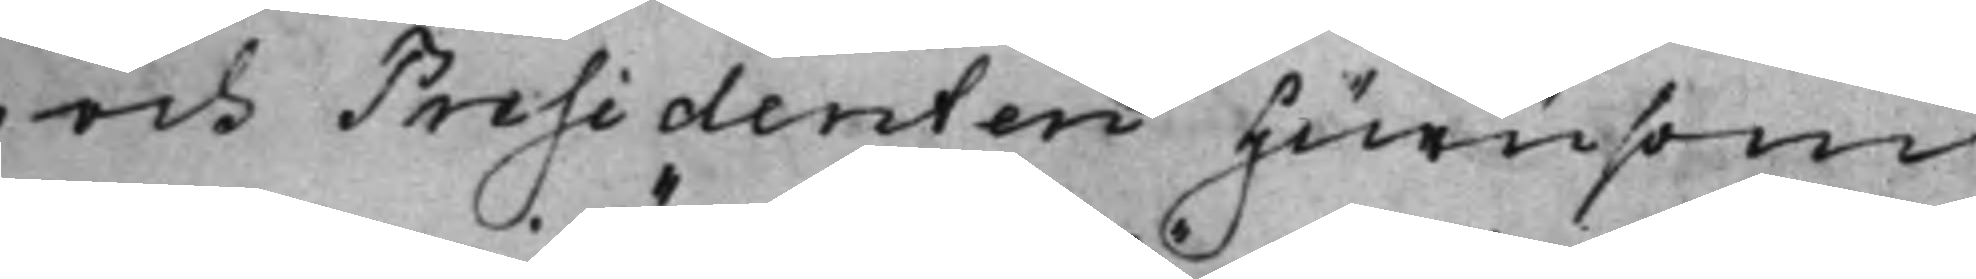och Presidenten hurusom
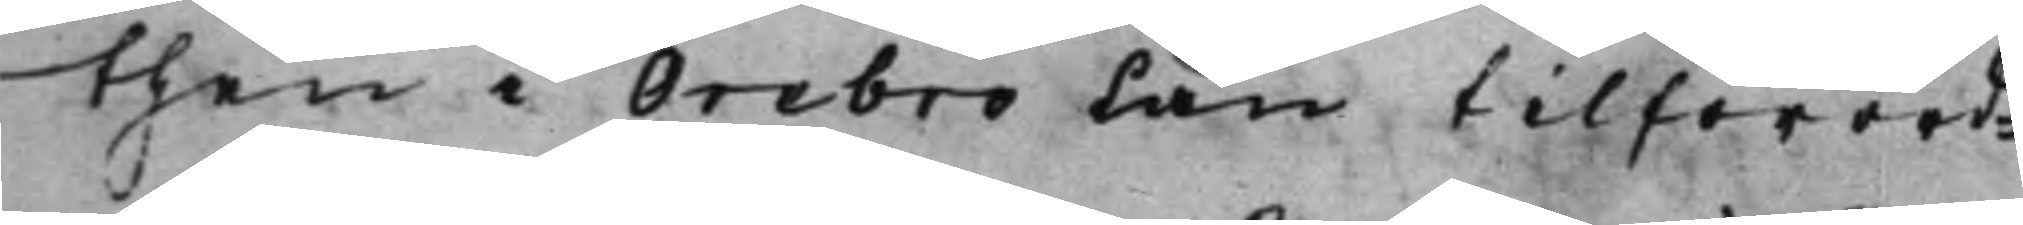then i Örebro Län tilförord¬
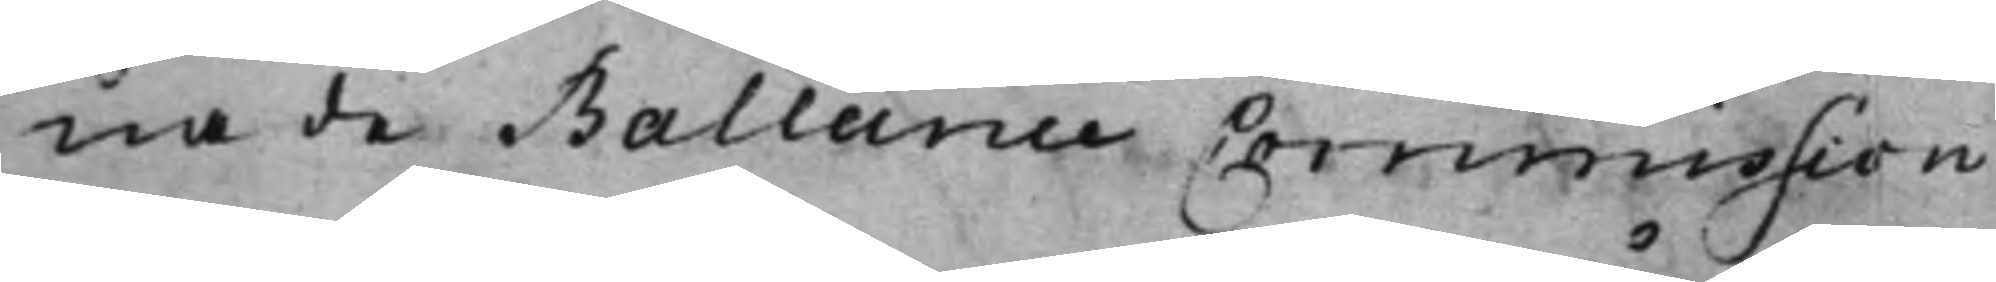nade Ballance Commission
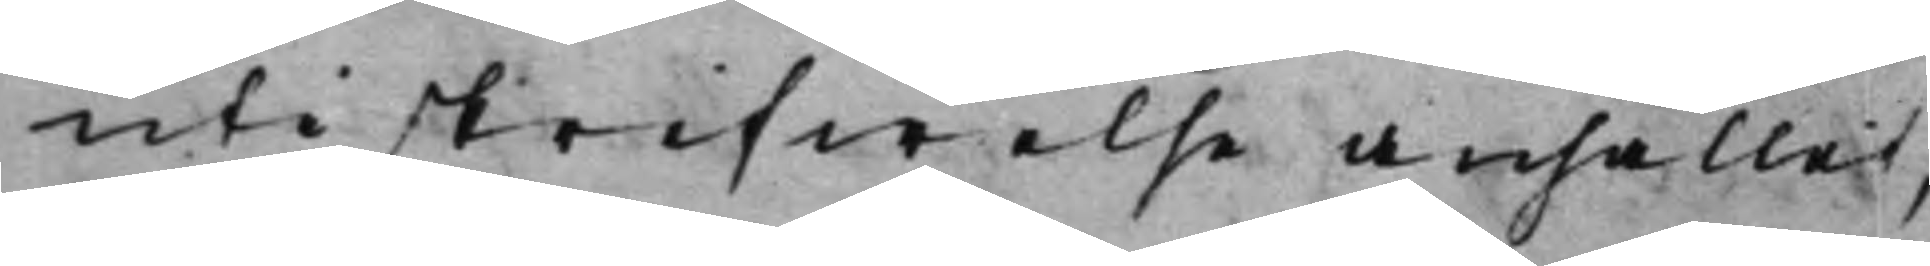uti skrifwelse anhållit,
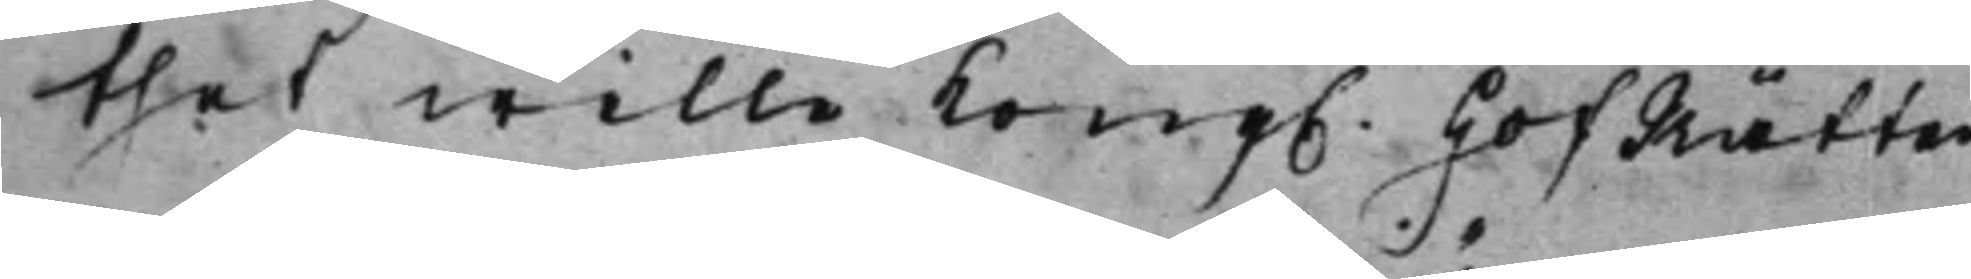thet wille Kong. HofRätten
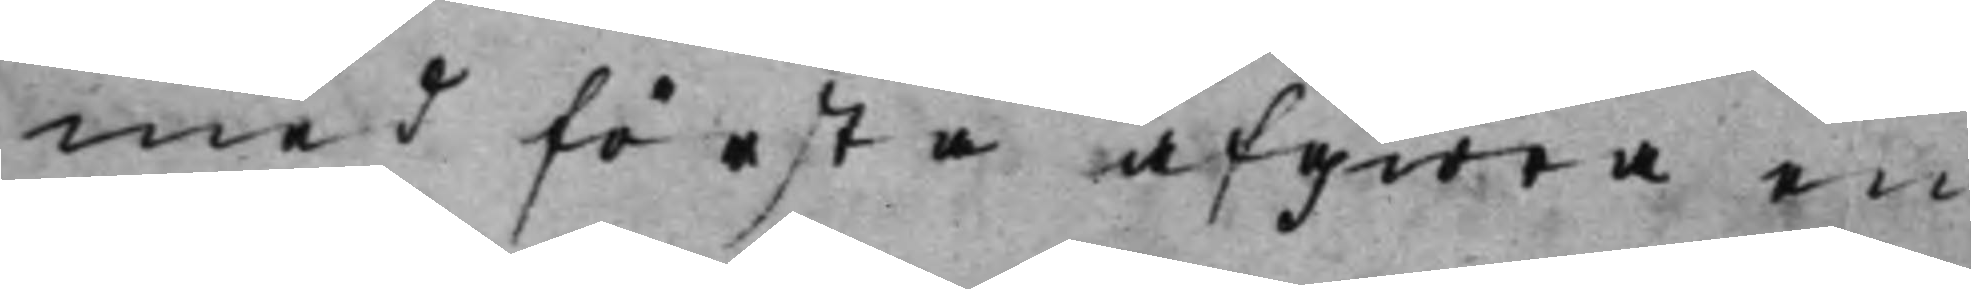med första afgiöra en
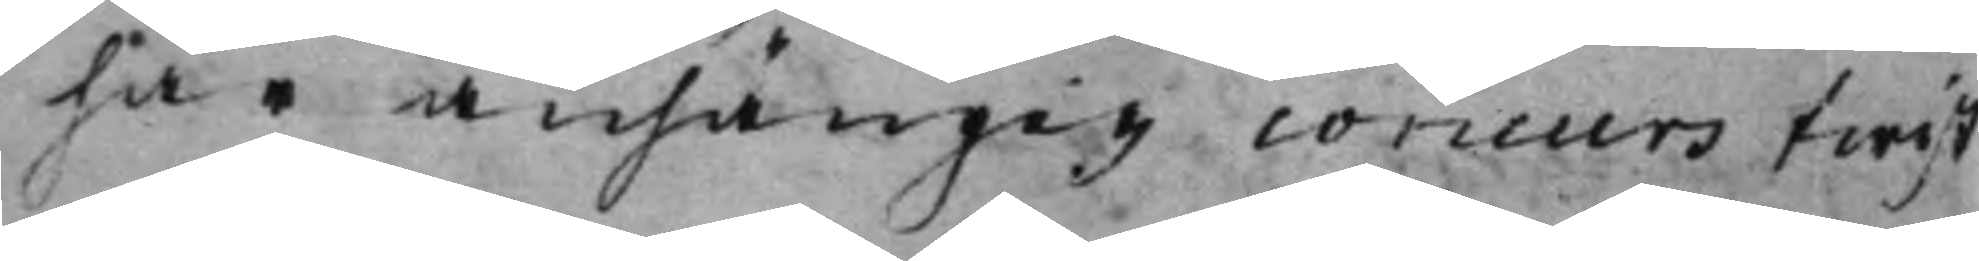här anhängig concurs twist
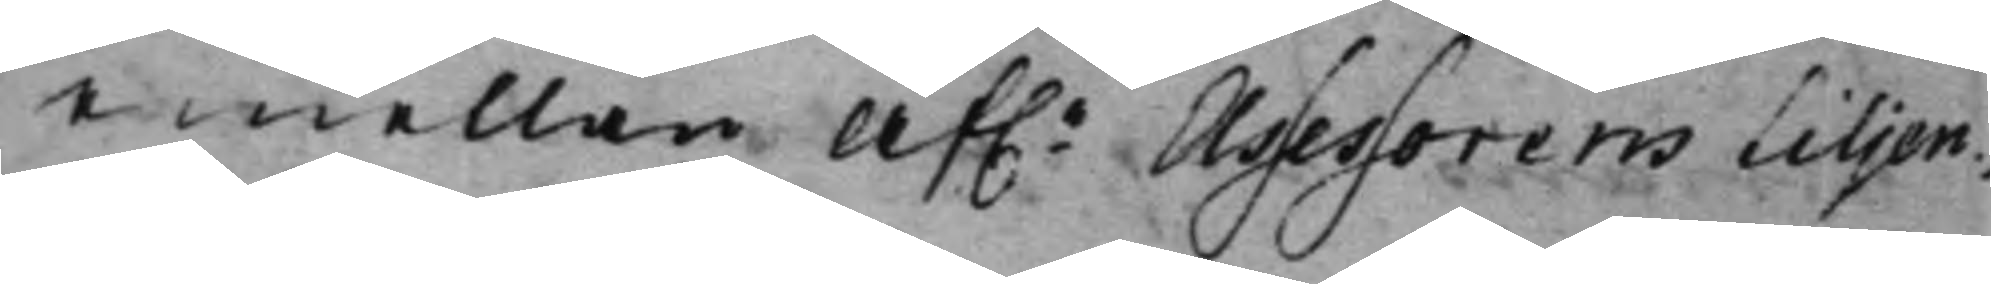emellan Af.e Assessorens Liljen¬
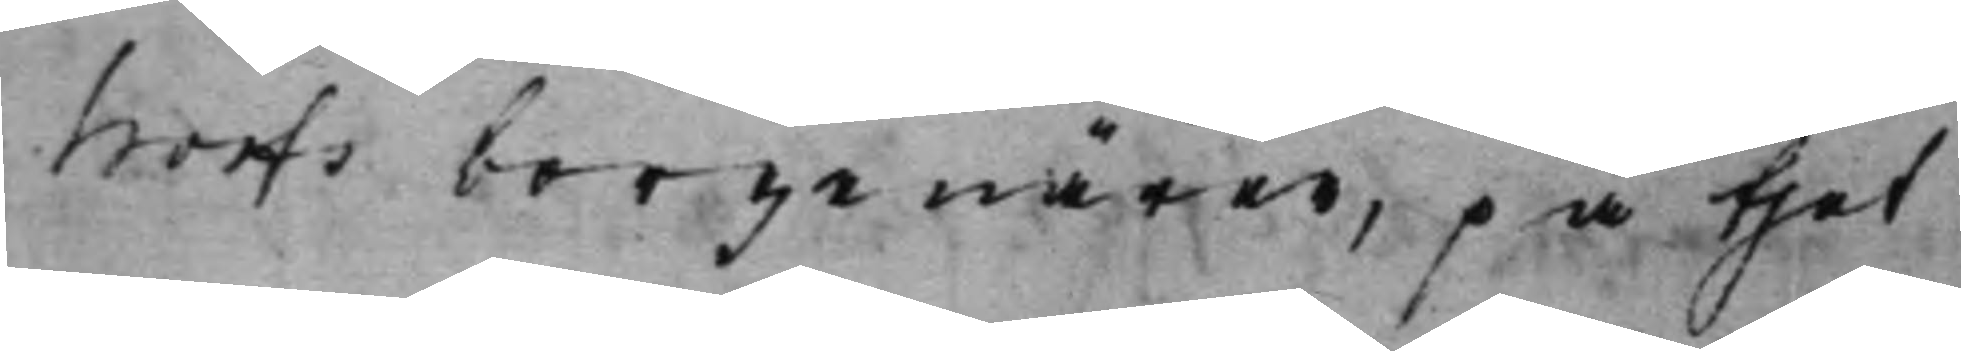hoofs borgenärer, på thet
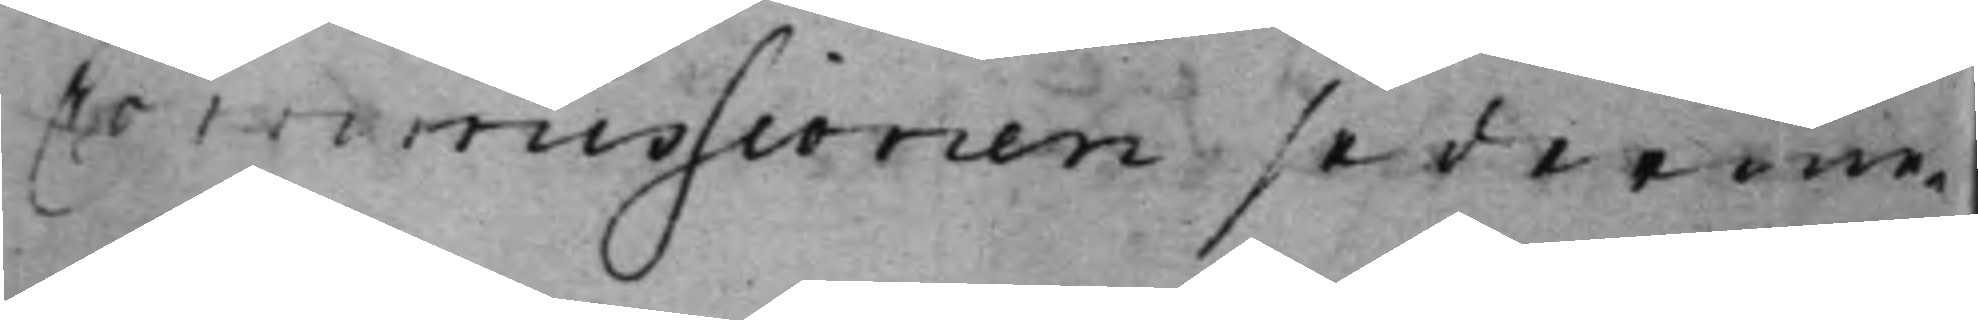Commissionen sederme¬
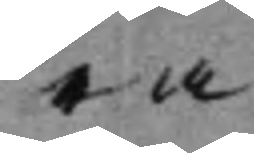ra
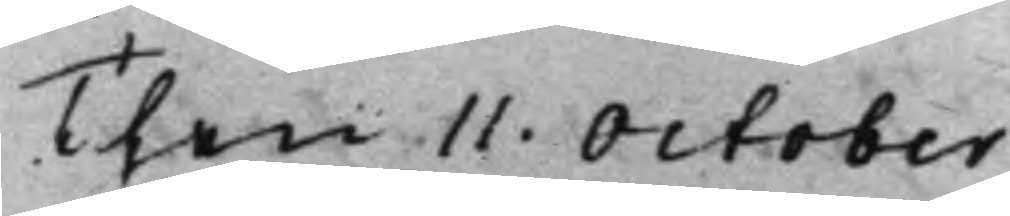Then 11. October
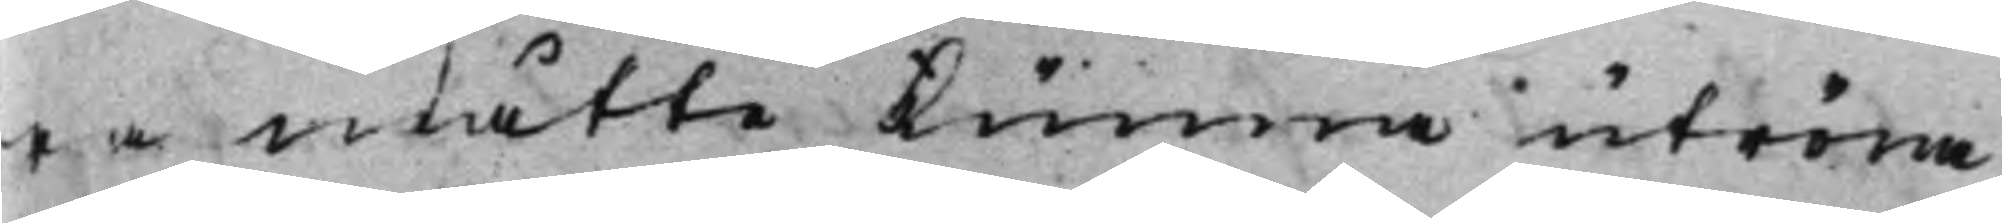ra måtte kunna utröna
